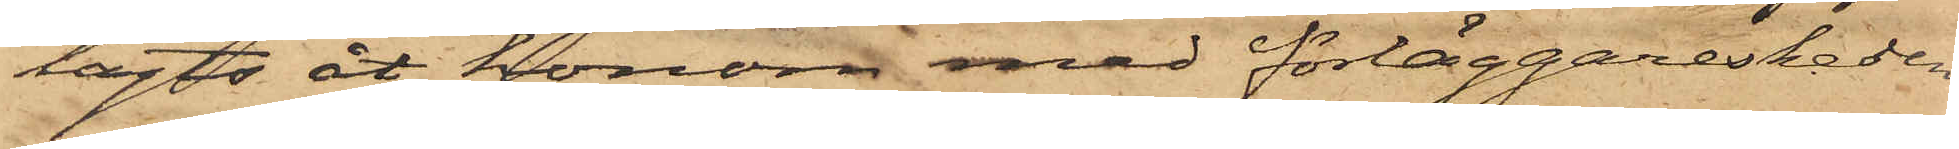lagts åt honom med förläggareskeden
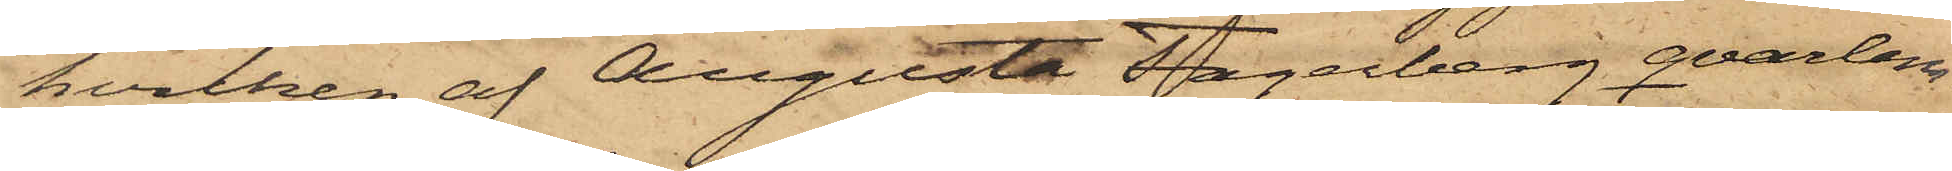hvilken af Augusta Fagerberg qvarlem¬
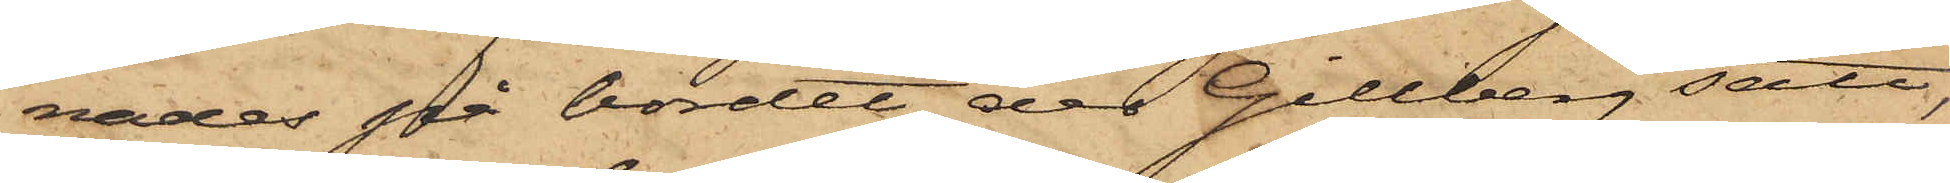nades på bordet, der Gillberg satt,
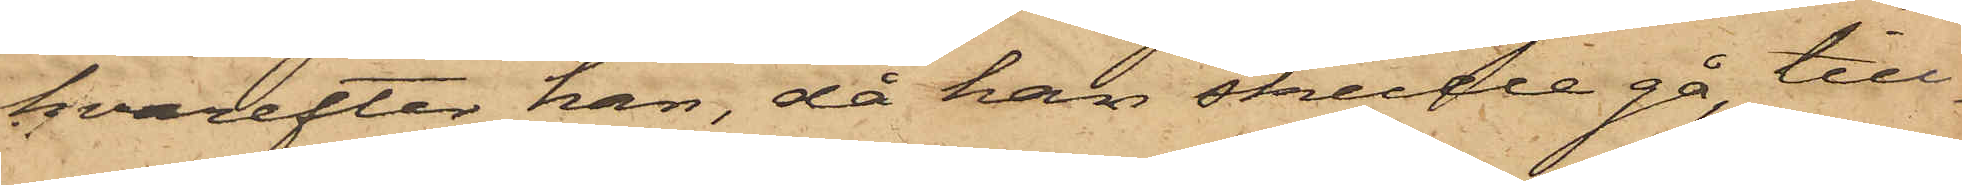hvarefter han, då han skulle gå, till¬
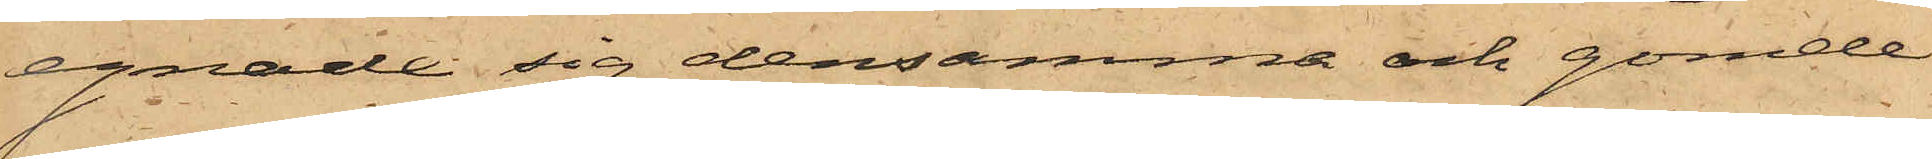egnade sig densamma och gömde
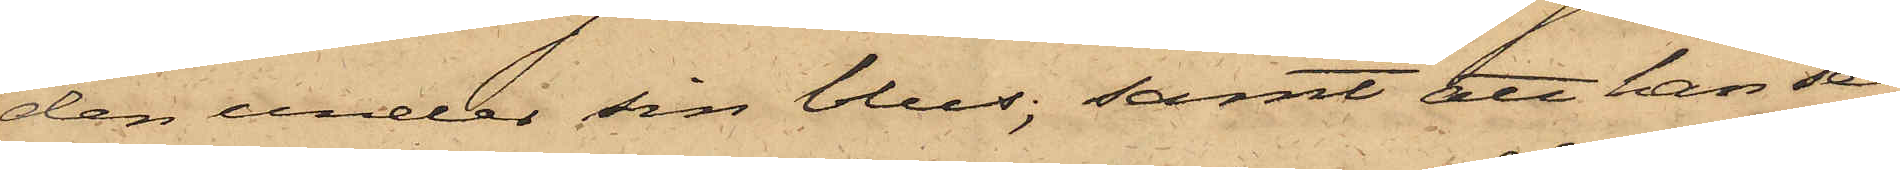den under sin blus; samt att han se¬
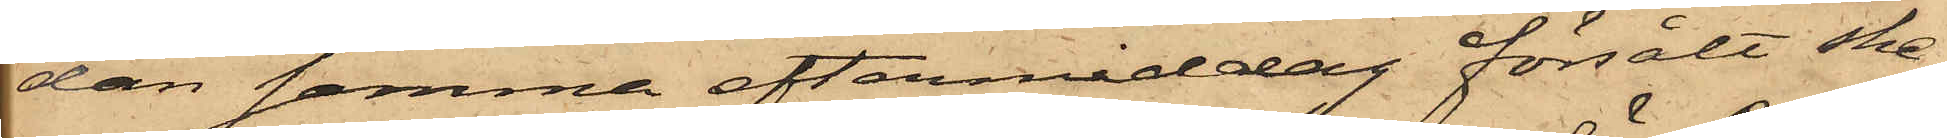dan samma eftermiddag försålt ske¬
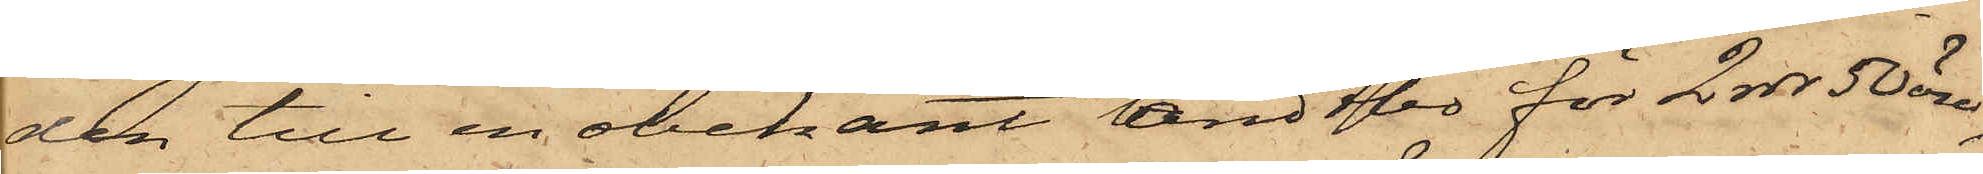den till en obekant landtbo för 2 rdr 50 öre,
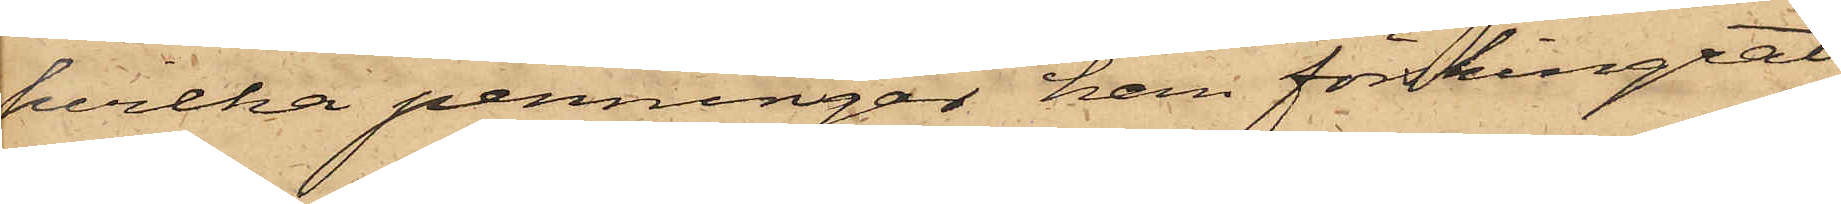hvilka penningar han förskingrat.
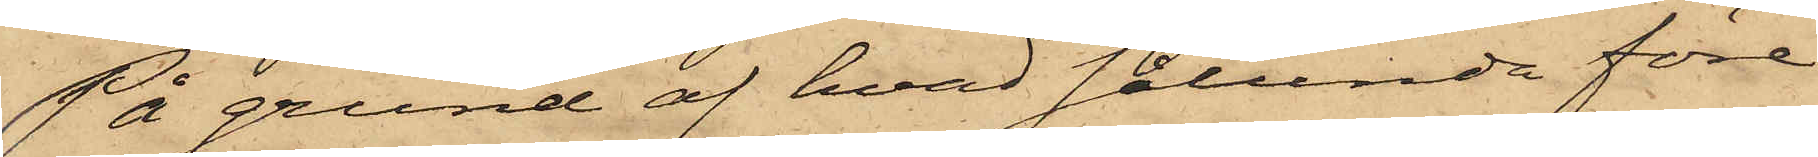På grund af hvad sålunda före¬
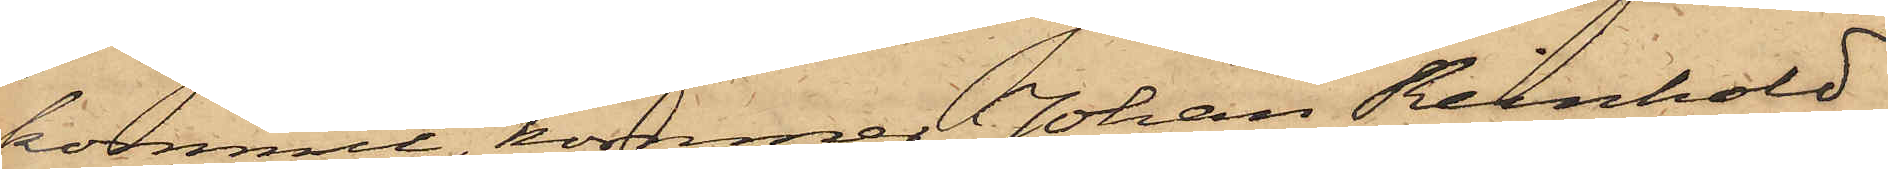kommit, kommer Johan Reinhold
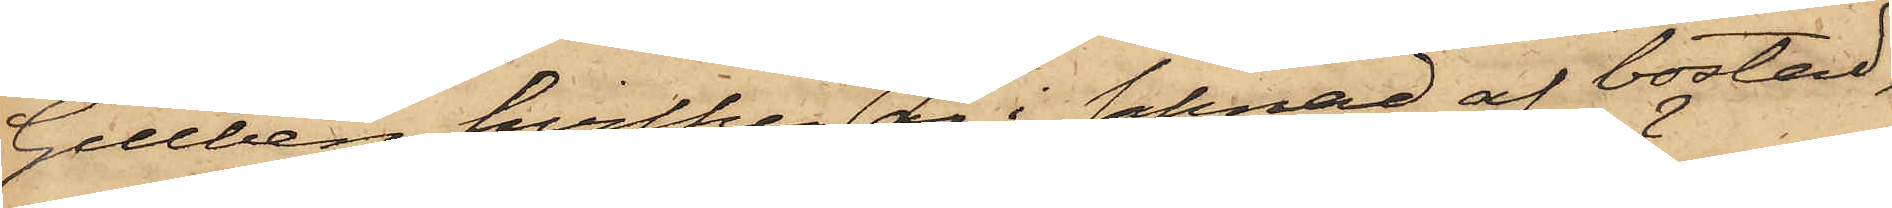Gillberg, hvilken är i saknad af bostad,
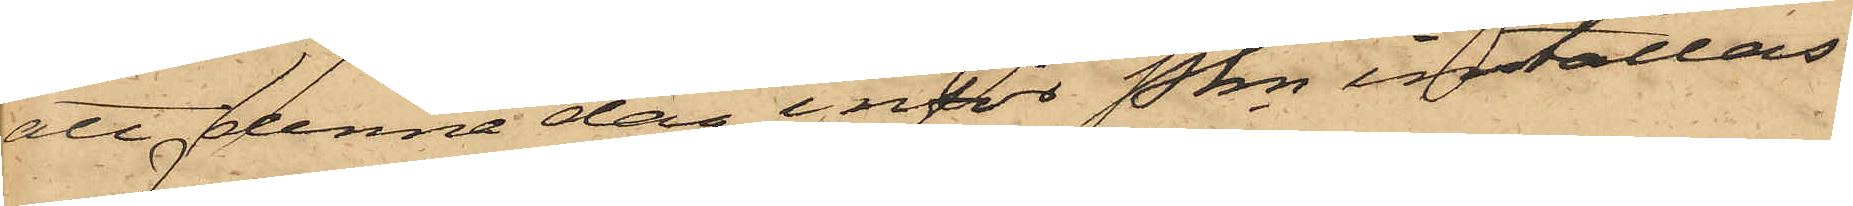att denna dag inför Pkn inställas.
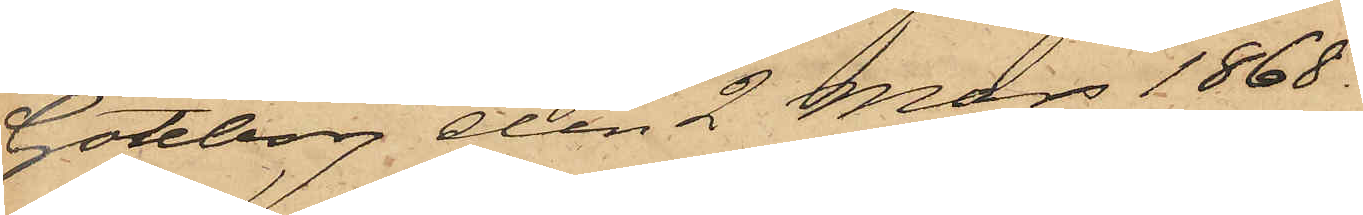Göteborg den 2 Mars 1868.
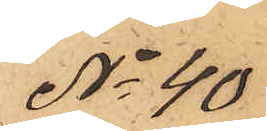No 40
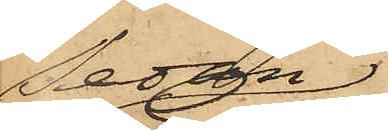Sedan
